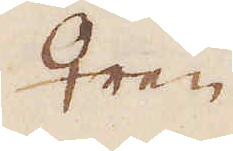♀ren
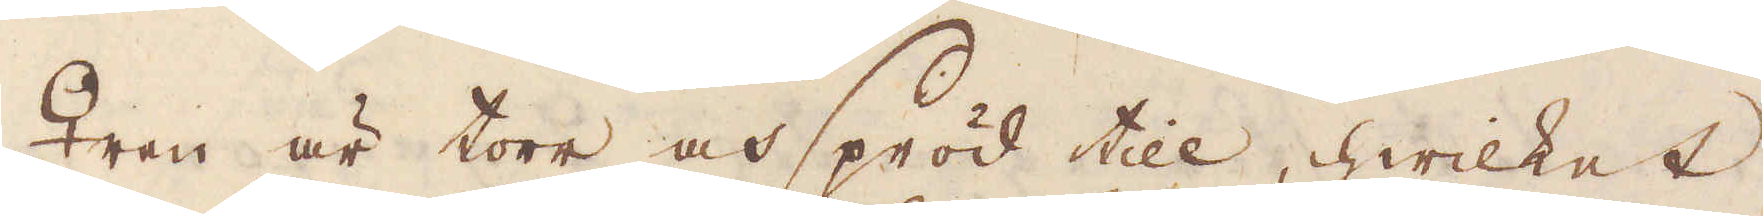♀ren är torr och spröd till, hwilket
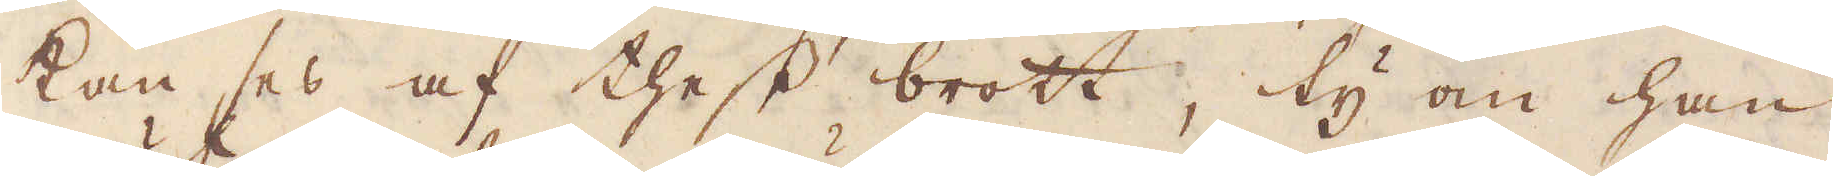kan ses af thess brott, ty om han
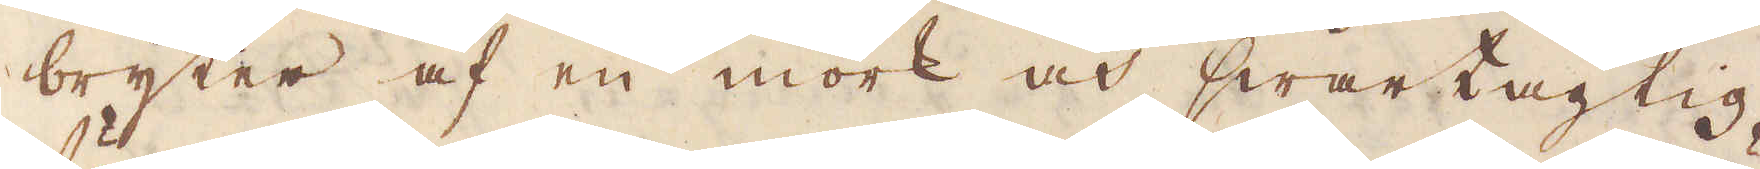bryter af en mörk och swartagtig
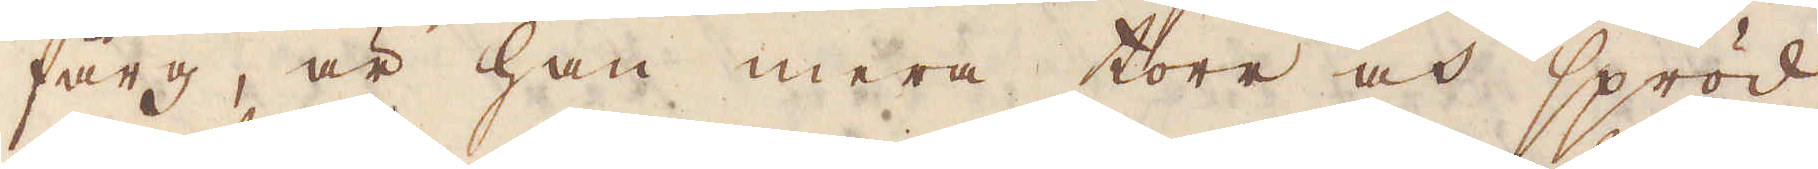färg, är han mera torr och spröd
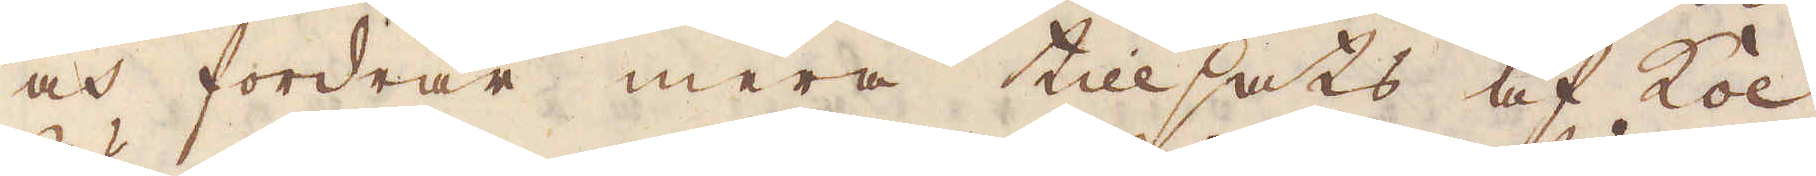och fordrar mera tillsats af kol;
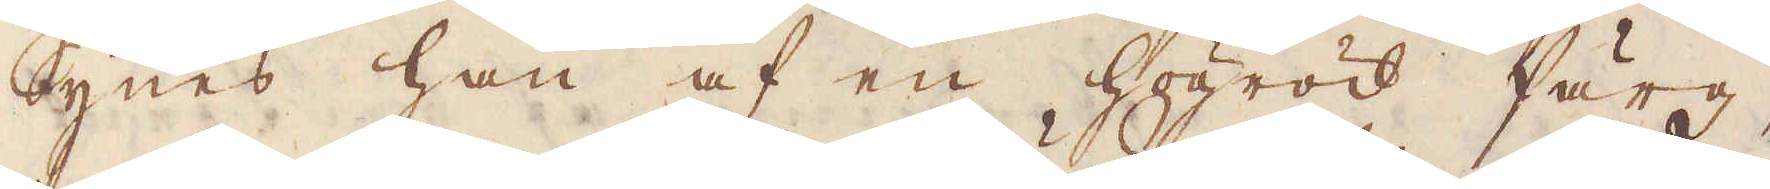Synes han af en högröd färg,
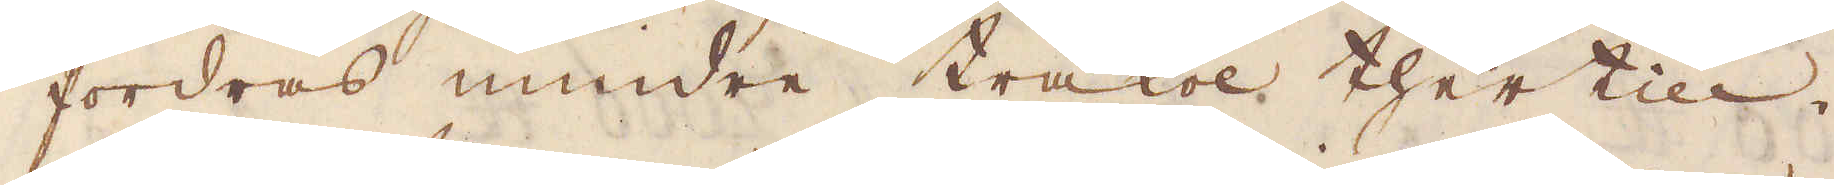fordras mindre träkol thertill.
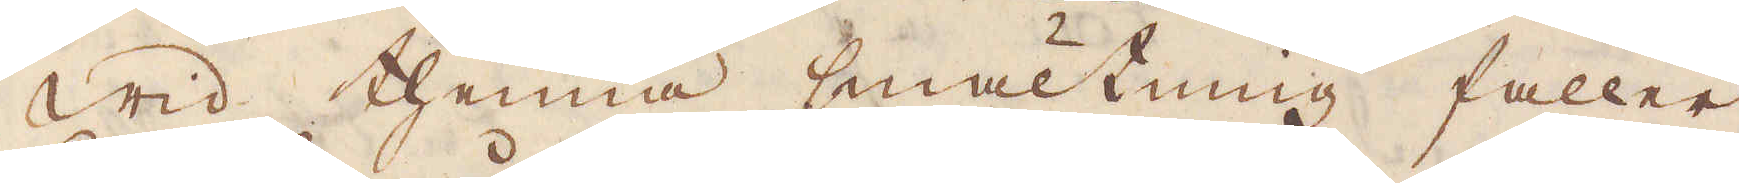Wid thenna smältning faller
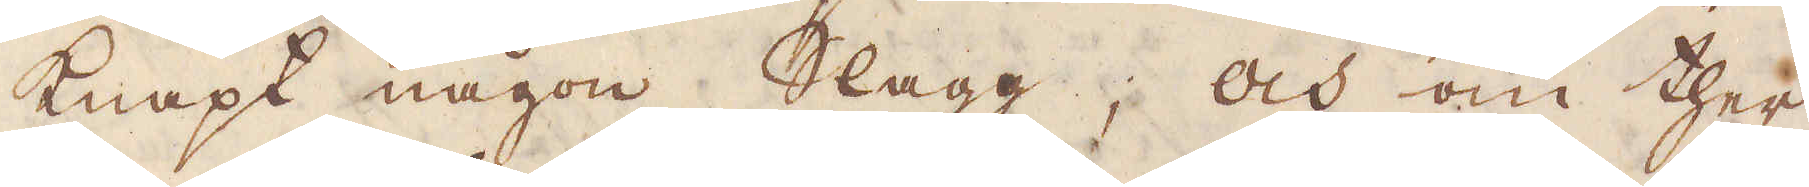knapt någon slagg; och om ther
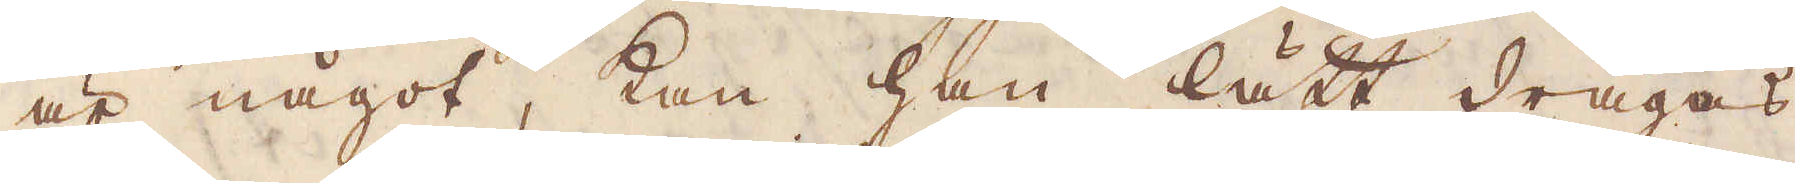är något, kan han lätt dragas
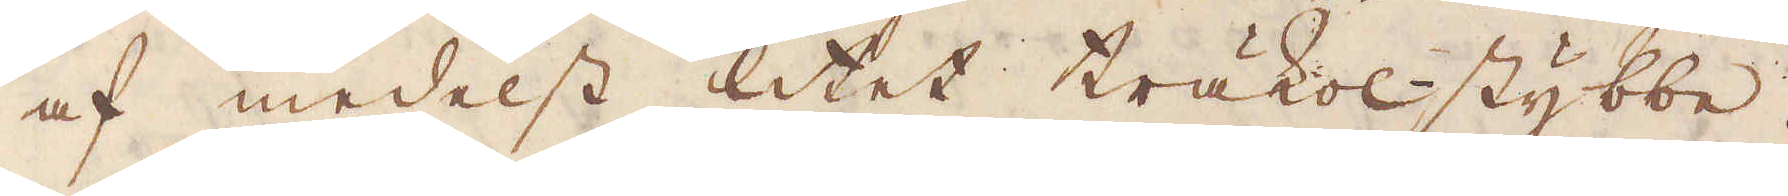af medelst litet träkol-stybbe.
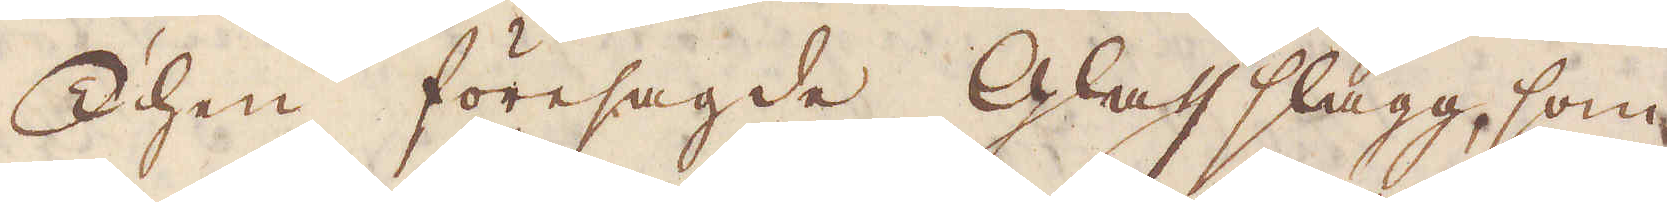Then föresagde Glass slagg, som
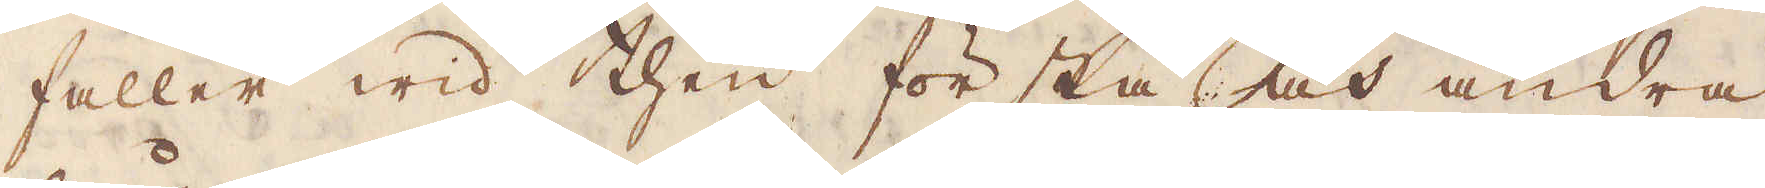faller wid then första och andra
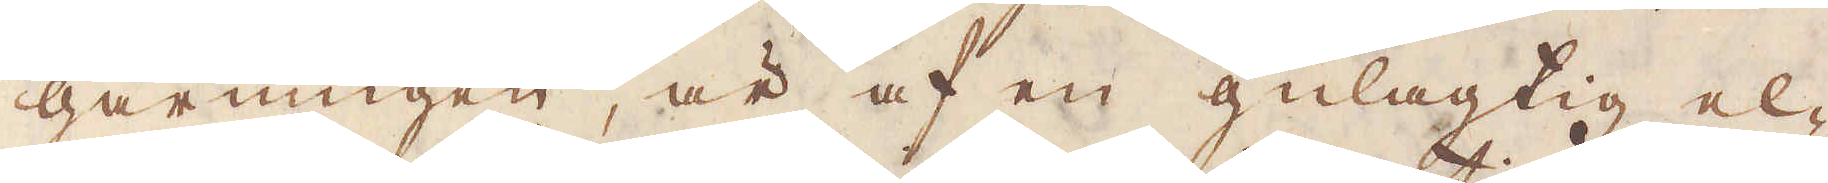gårningen, är af en gulagtig el-
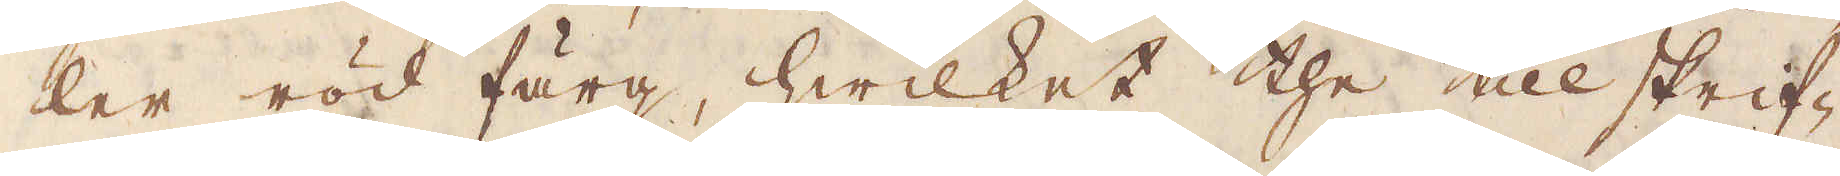ler röd färg, hwilket the till skrif-
